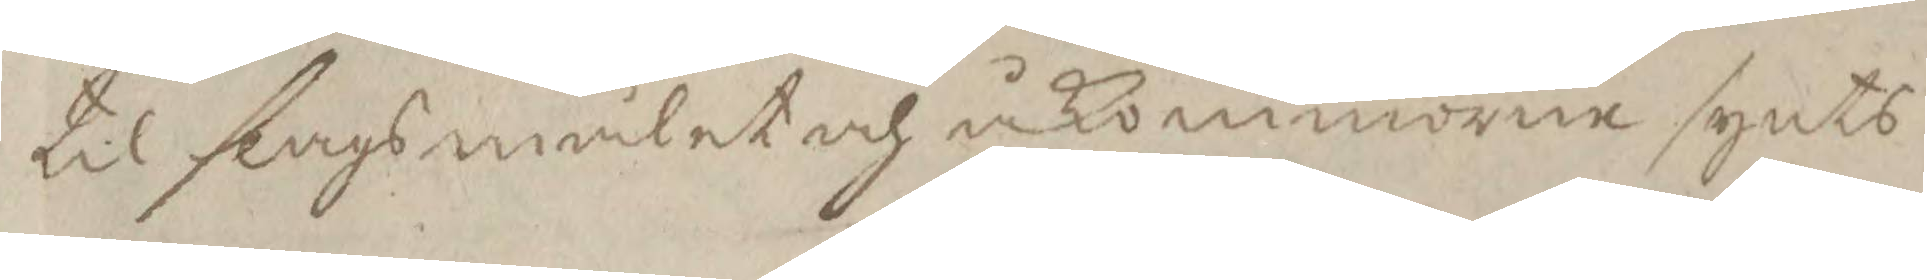til slagsmålet och åkommorne synts
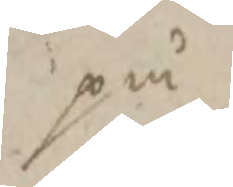på
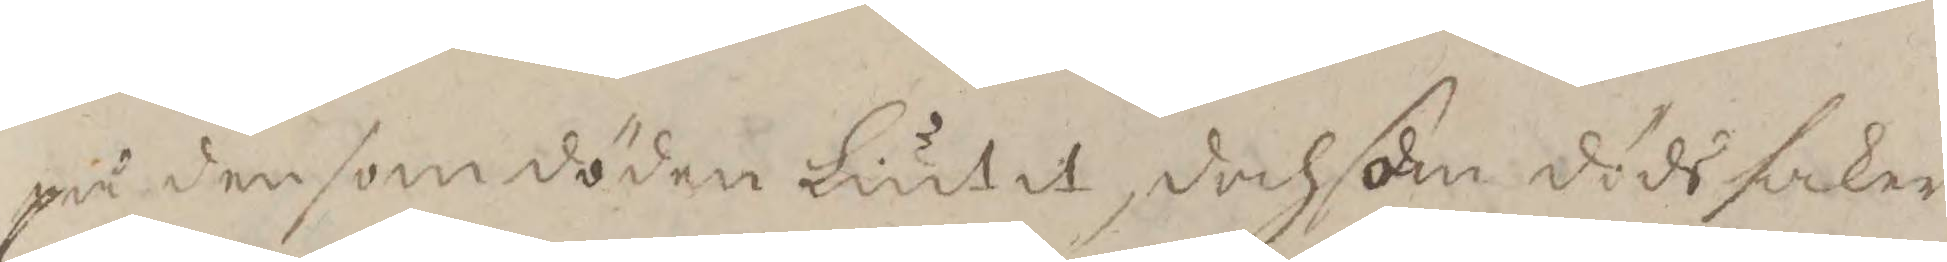på den som döden liutit, doch som döds saken
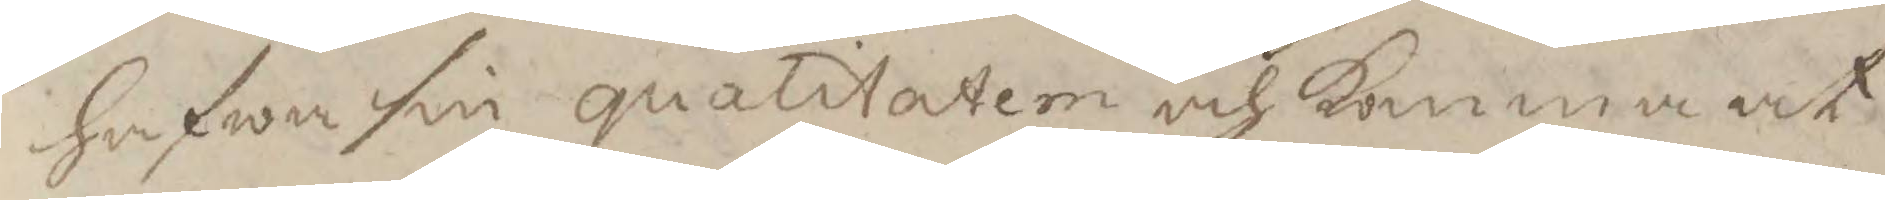hafwa sin qualitatem och komma at
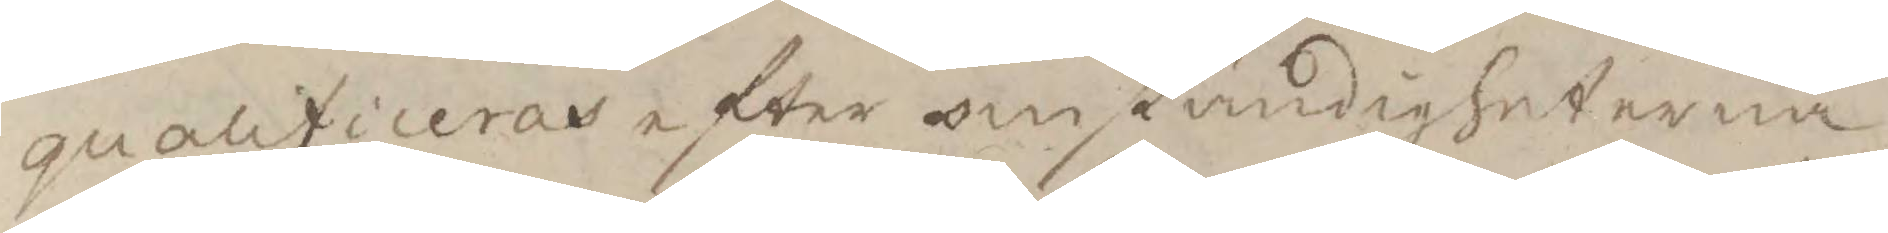qualificeras efter omständigheterna
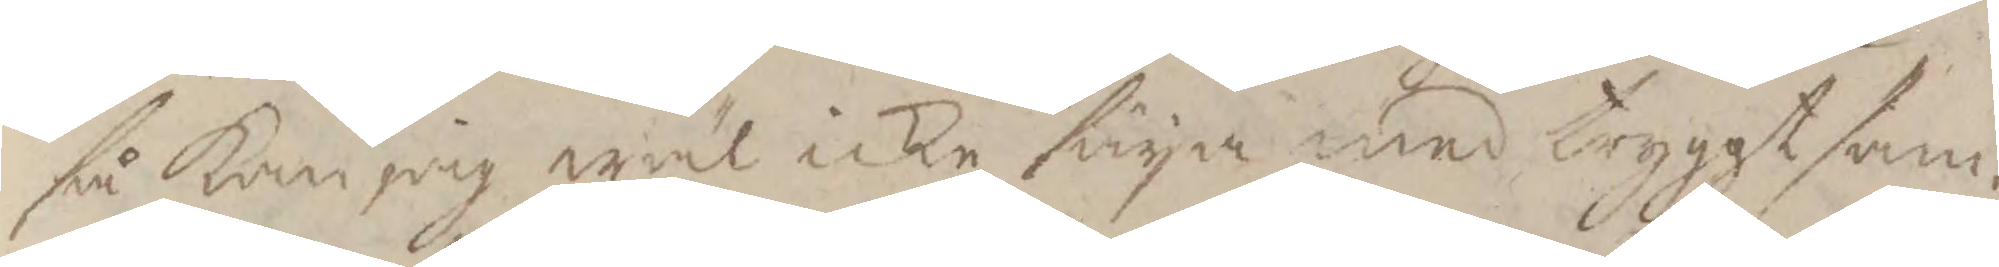så Kan jag wäl icke säya med tryggt sam¬
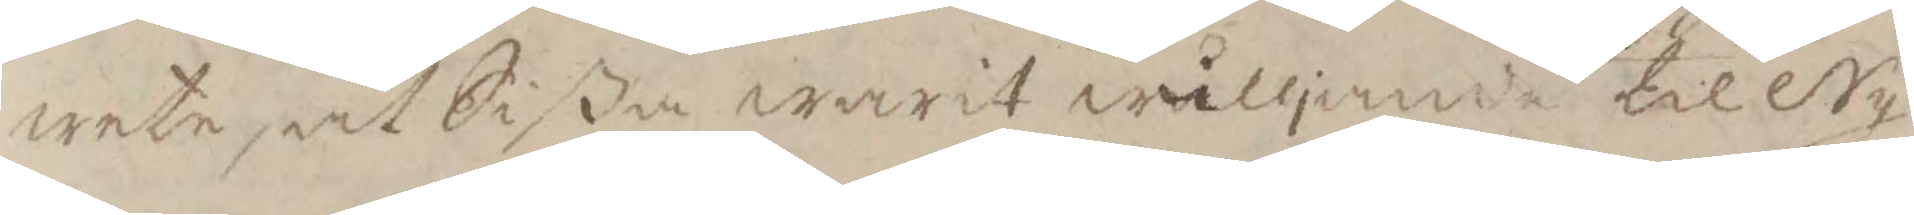wete, at Sißa warit wålljande till Ny¬
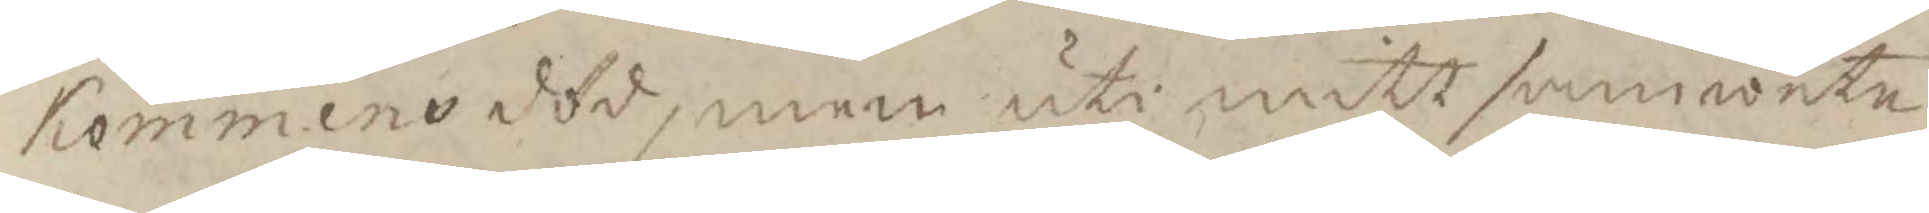kommens död, men uti mitt samwete
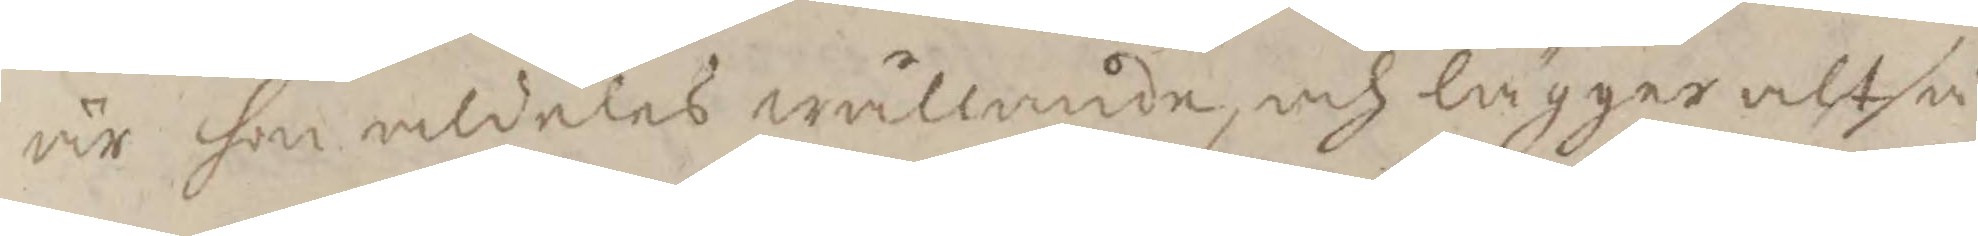är hon aldeles wållande, och lägger altså
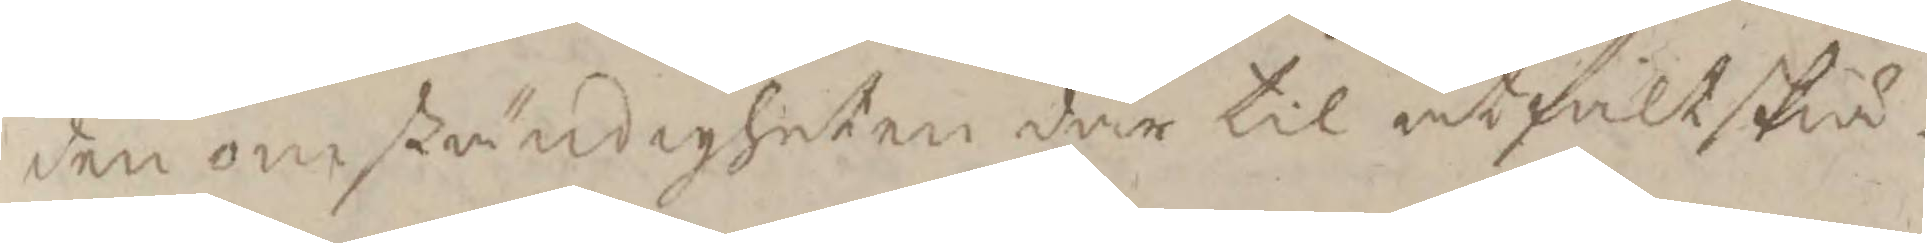den omständigheten där til at fältskiä¬
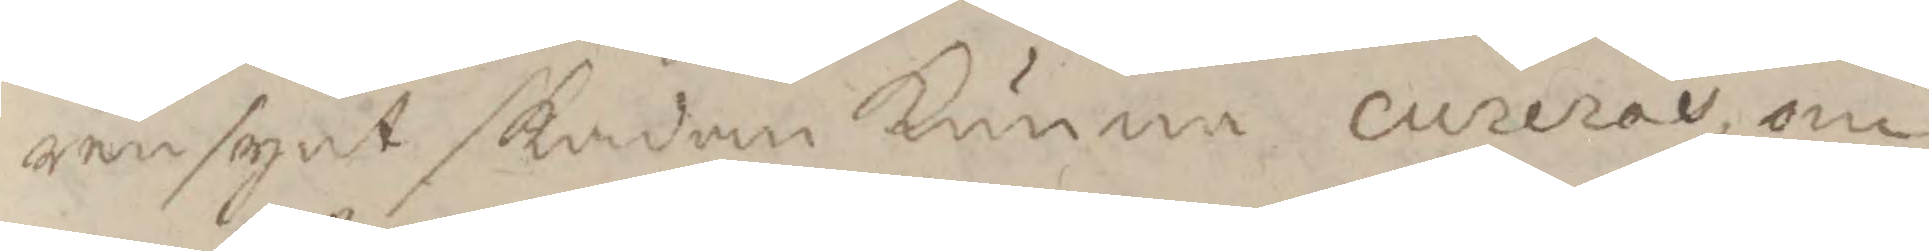ren sagt skadan kunna cureras om
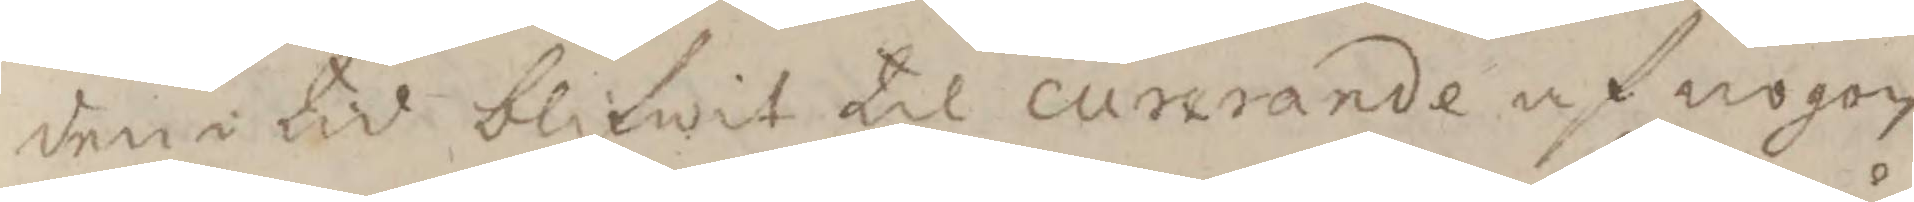den i tid blifwit til curerande af nogon
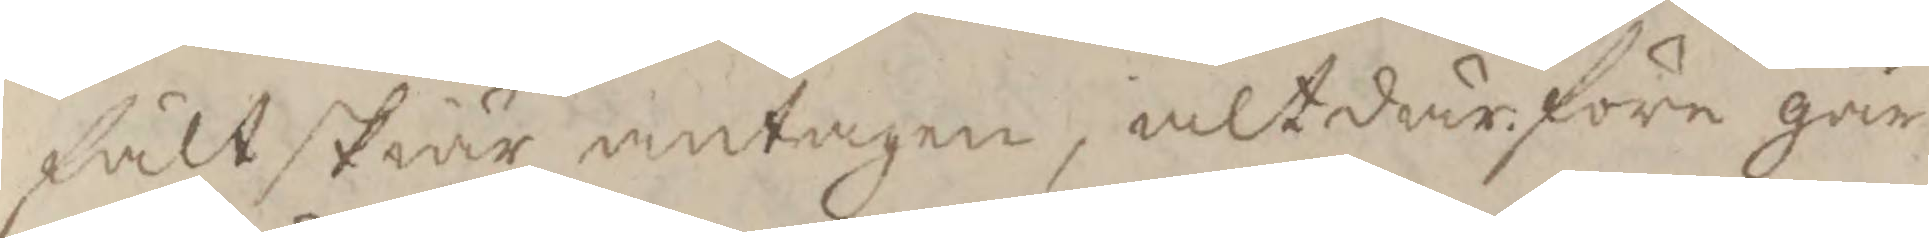fältskiär antagen, alt därföre går
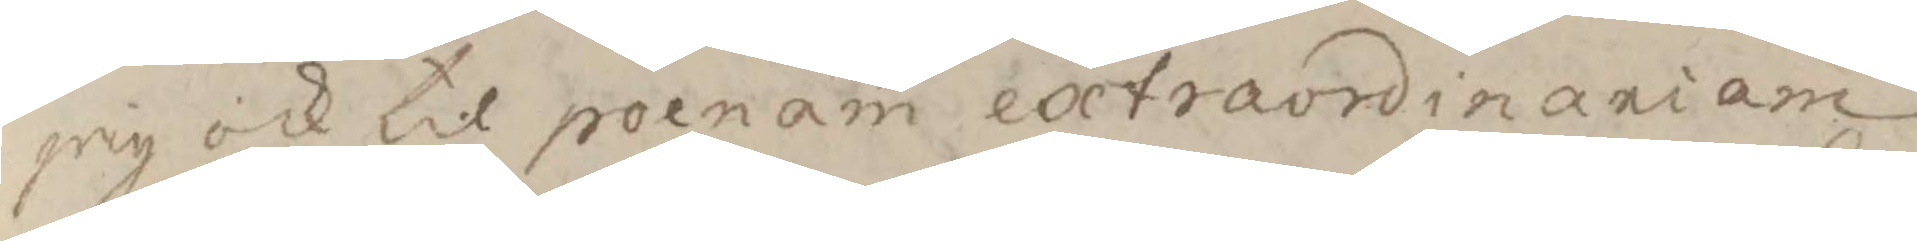jag ock til polnamn extraordinariom
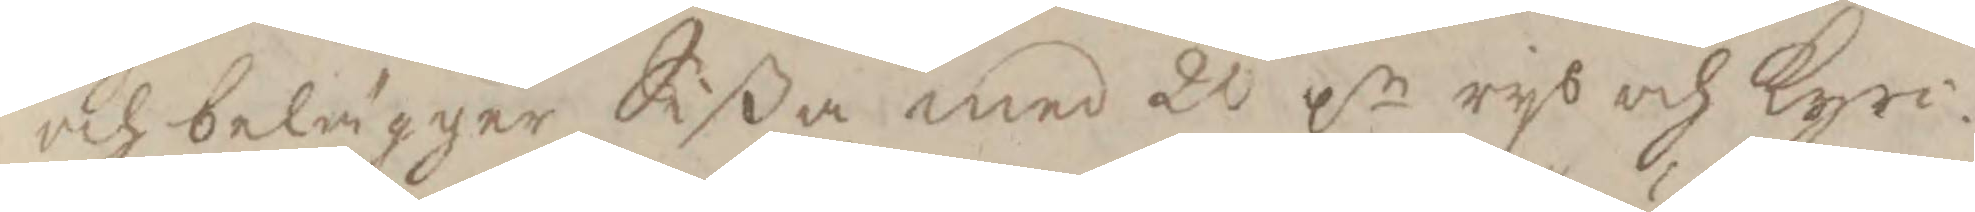och belägger Sißa med 20 pr rys och Kyrc¬
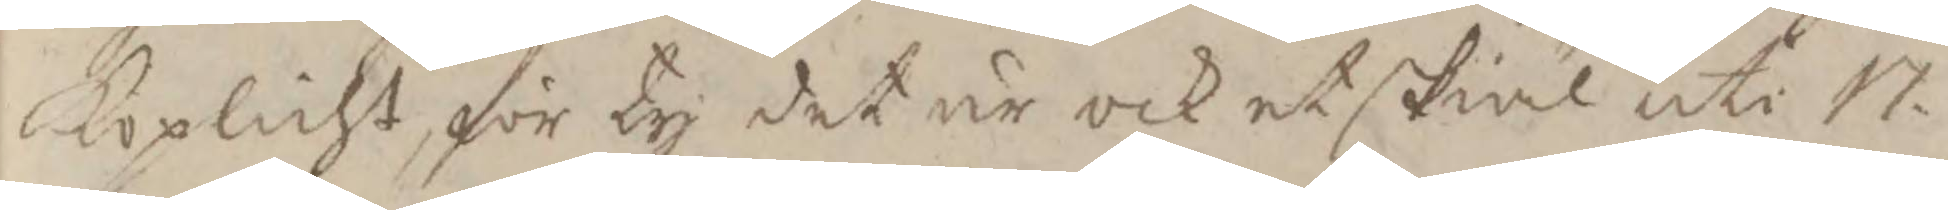koplicht, för ty det är ock et skiäl uti 17
